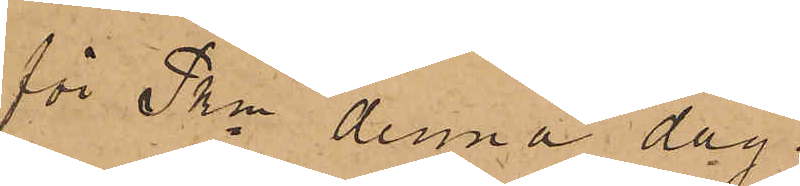för Pkn denna dag.
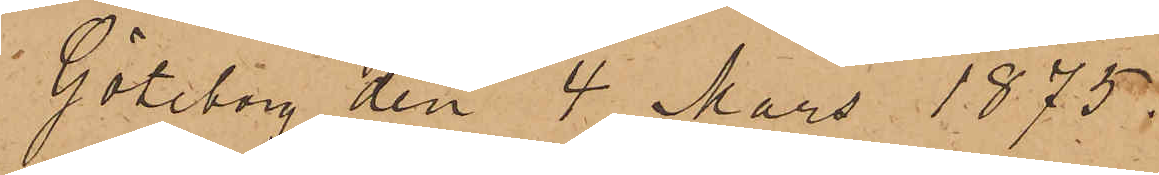Göteborg den 4 Mars 1875.
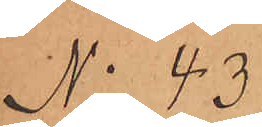No 43
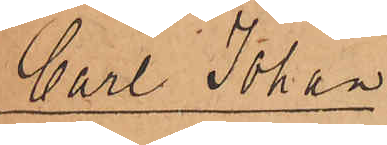Carl Johan
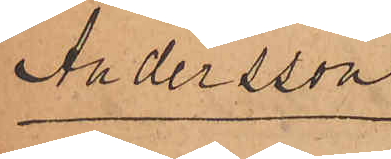Andersson.
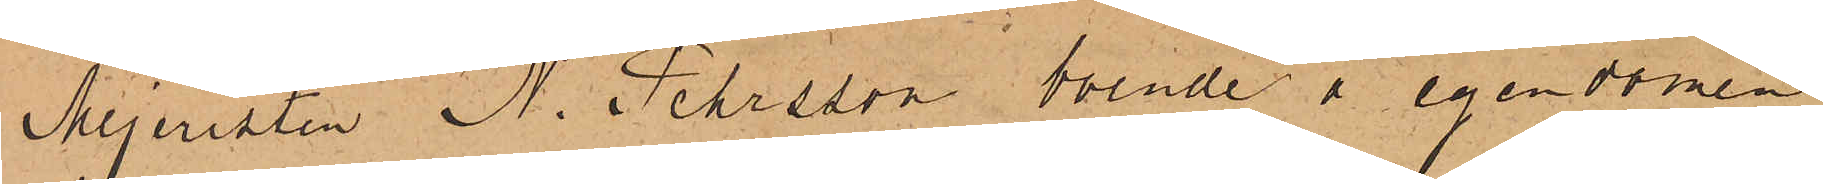Mejeristen N. Pehrsson, boende å egendomen
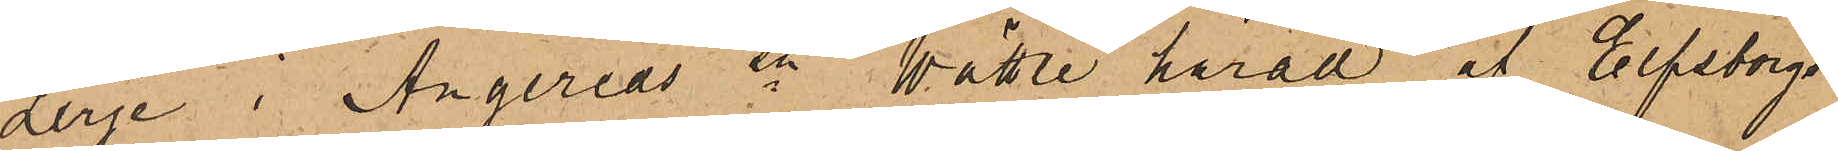Lerje i Angereds sn Vättle härad af Elfsborgs
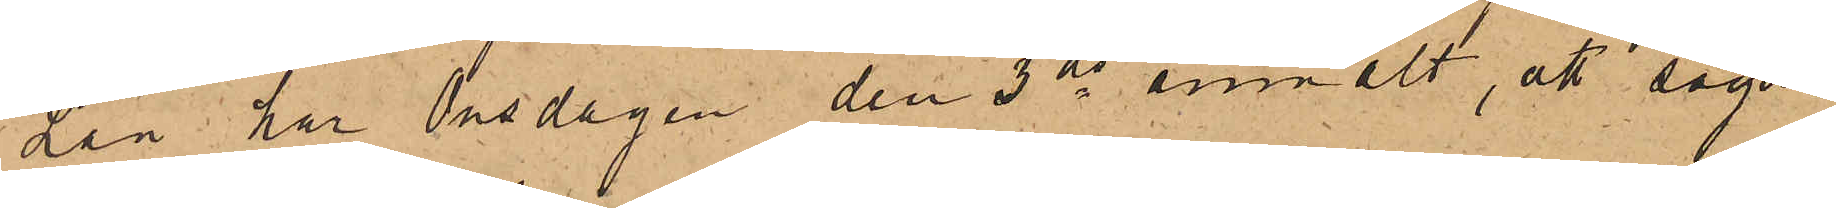Län har Onsdagen den 3 ds anmält, att sagde
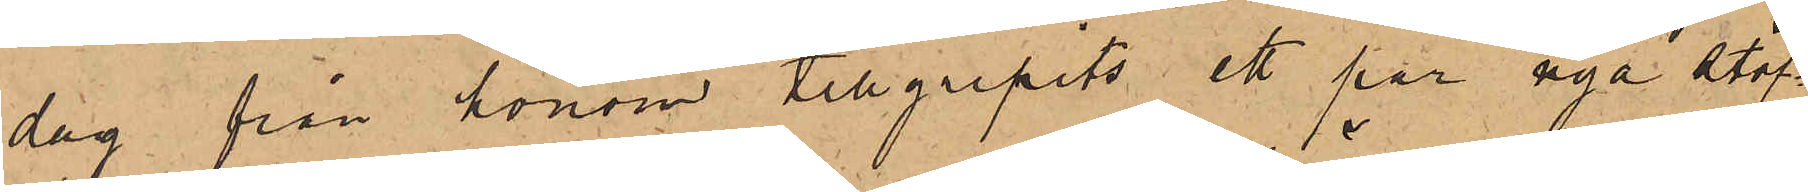dag från honom tillgripits ett par nya stöf¬
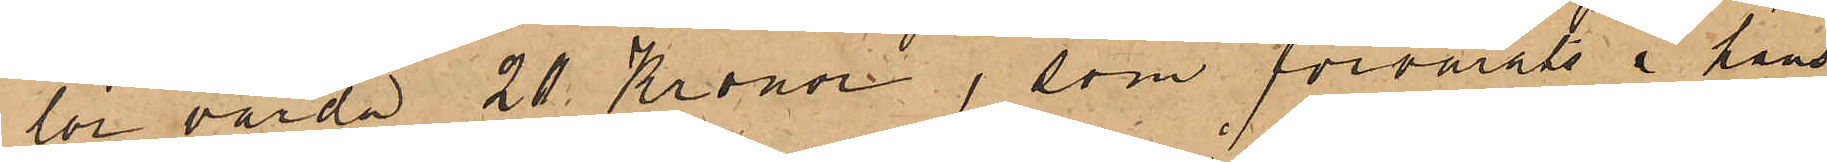lor värda 20 Kronor, som förvarats i hans
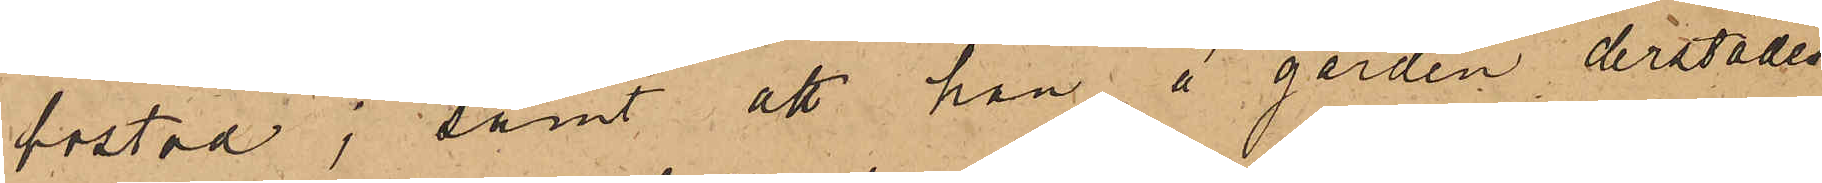bostad; samt att han å gården derstädes
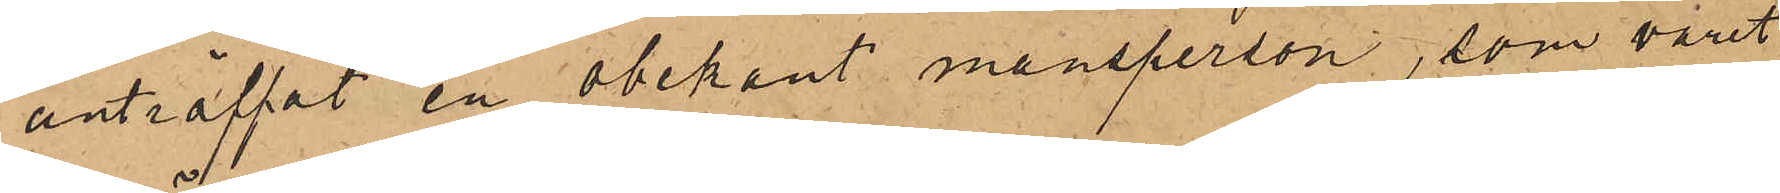anträffat en obekant mansperson, som varit
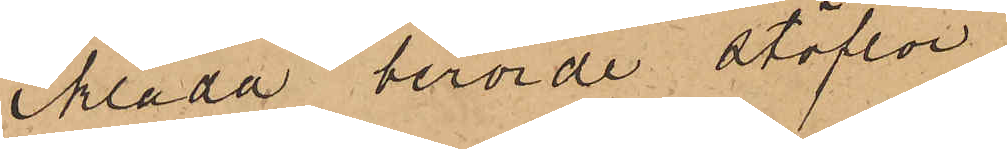iklädd berörde stöflar.
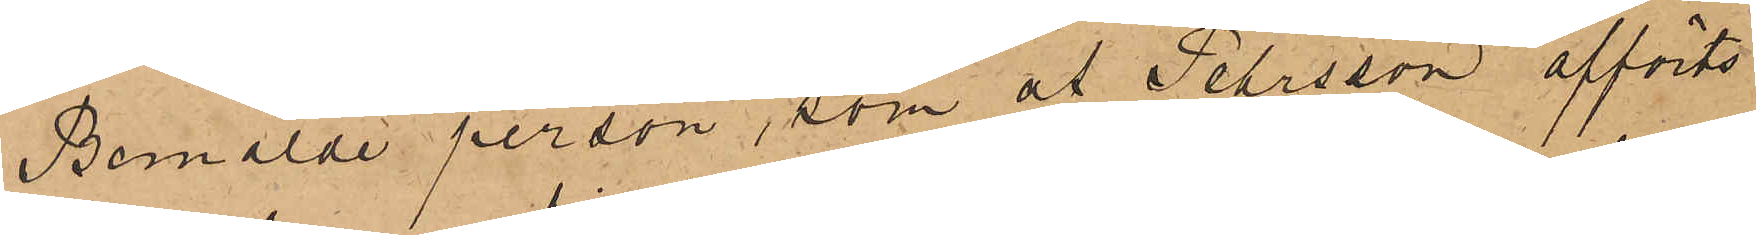Bemälde person, som af Petersson afförts
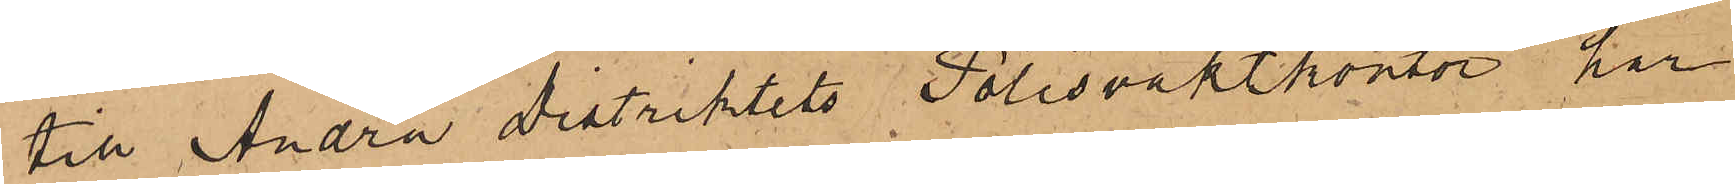till Andra distriktets Polisvaktkontor, har
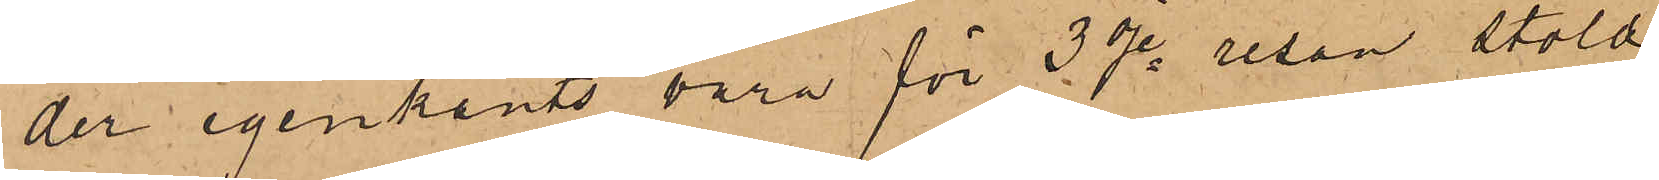der igenkänts vara för 3dje resan stöld
